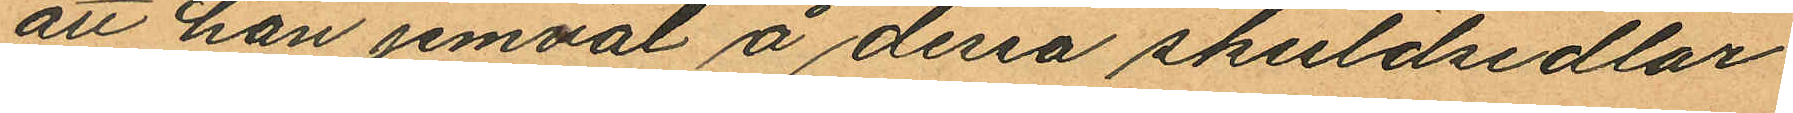att han jemväl å dessa skuldsedlar
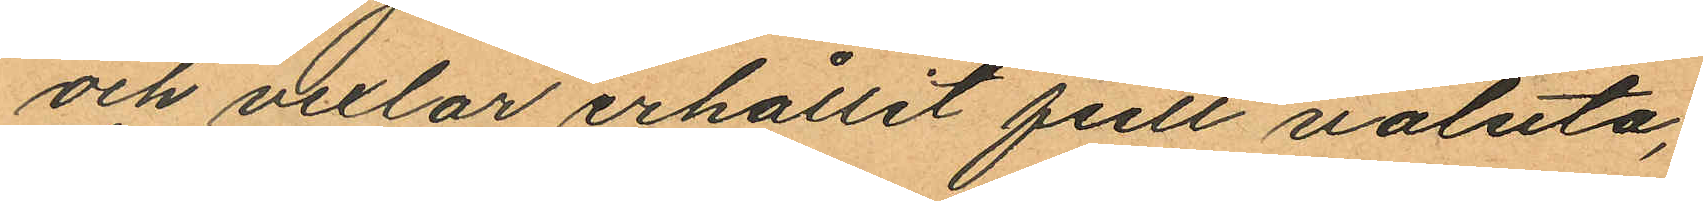och vexlar erhållit full valuta;
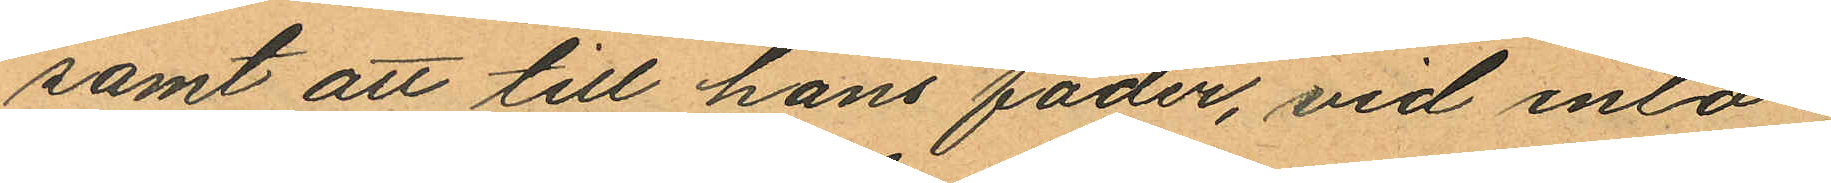samt att till hans fader, vid inlö¬
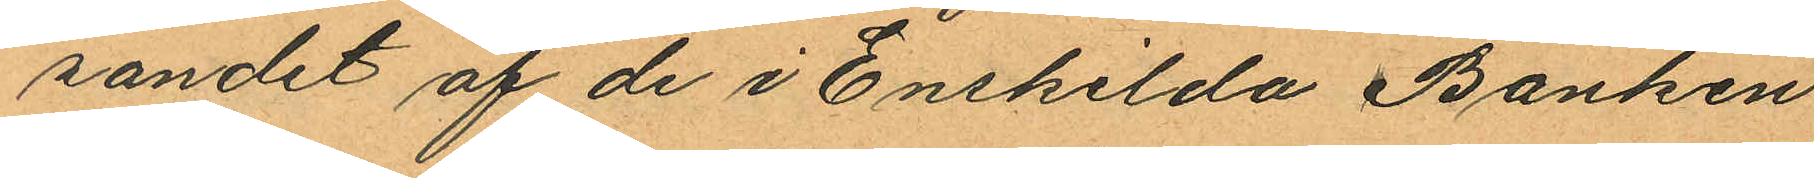sandet af de i Enskilda Banken
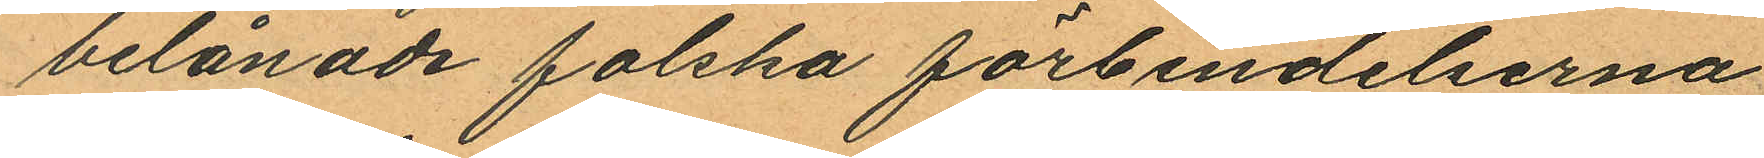belånade falska förbindelserna
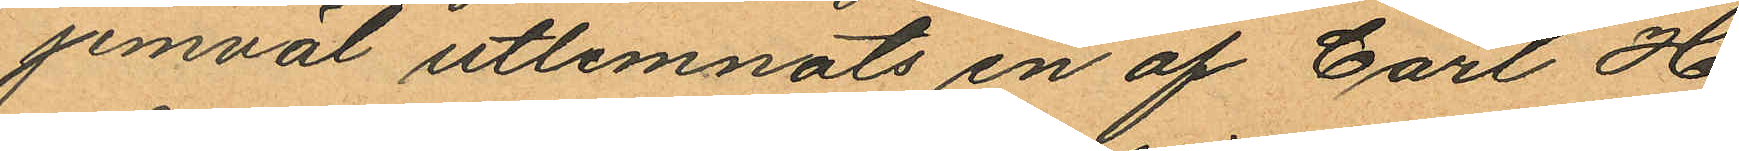jemväl utlemnats en af Carl H
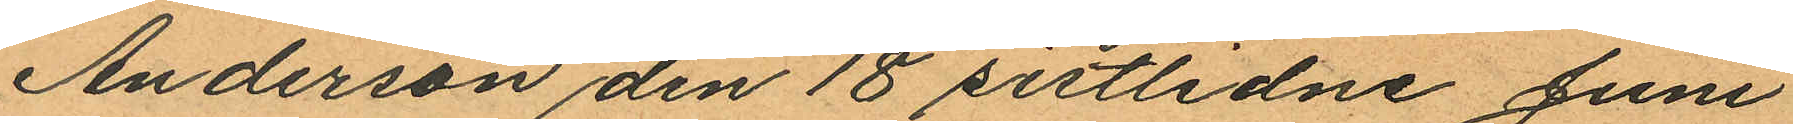Anderson den 18 sistlidne Juni
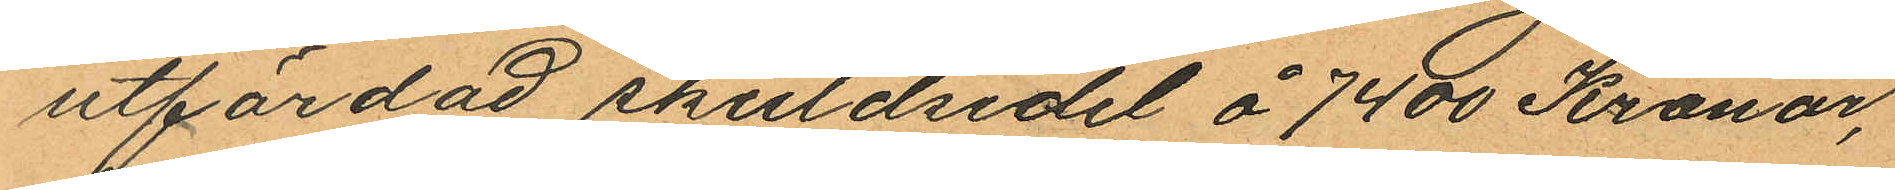utfärdad skuldsedel å 7400 Kronor,
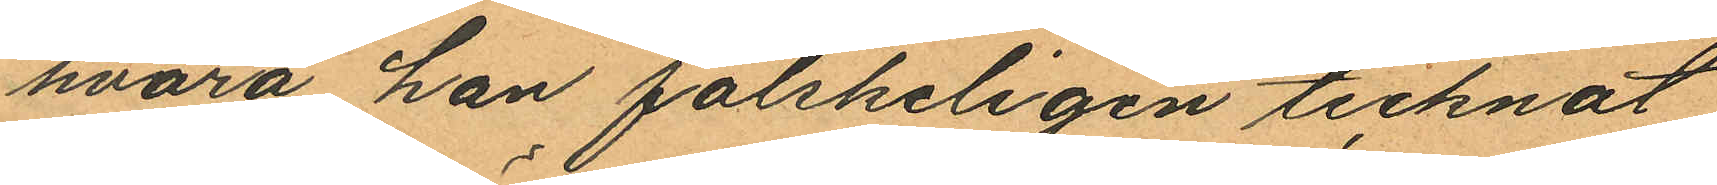hvarå han falskeligen tecknat
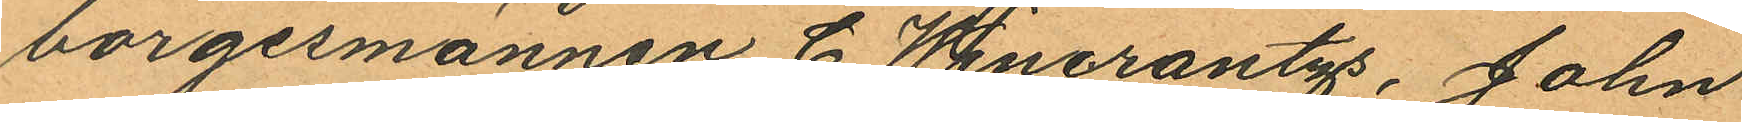borgesmännen C Wincrantzs, John
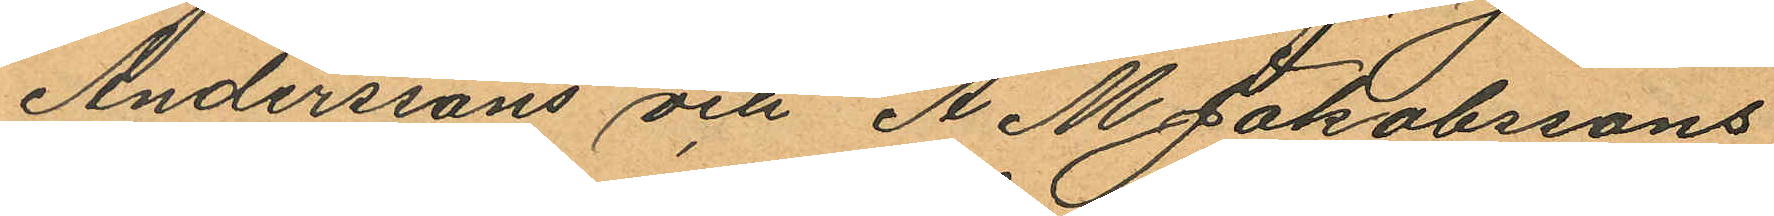Anderssons och A. M. Jakobssons
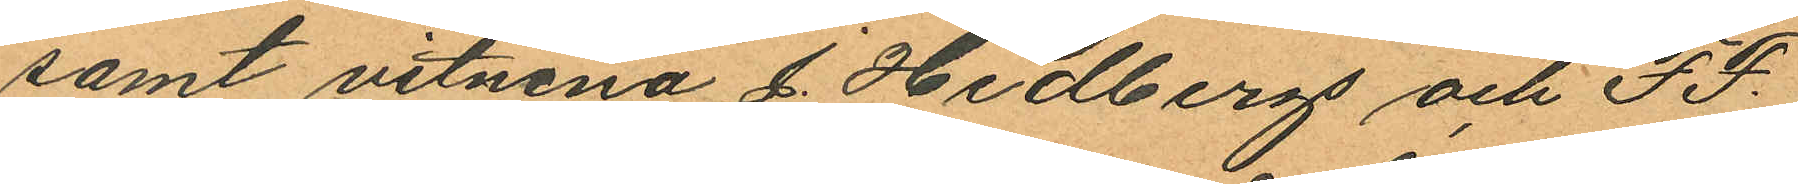samt vitnena J. Hedbergs och F. F.
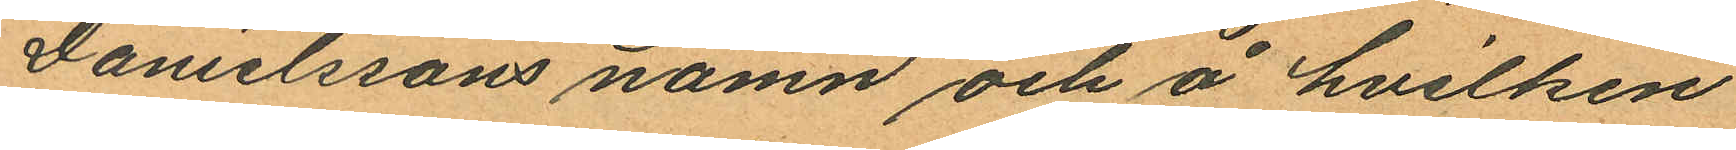Danielssons namn och å hvilken
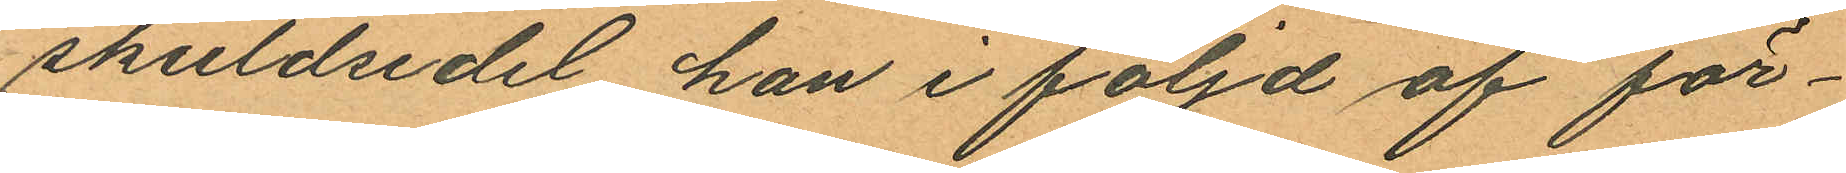skuldsedel han i följd af för¬
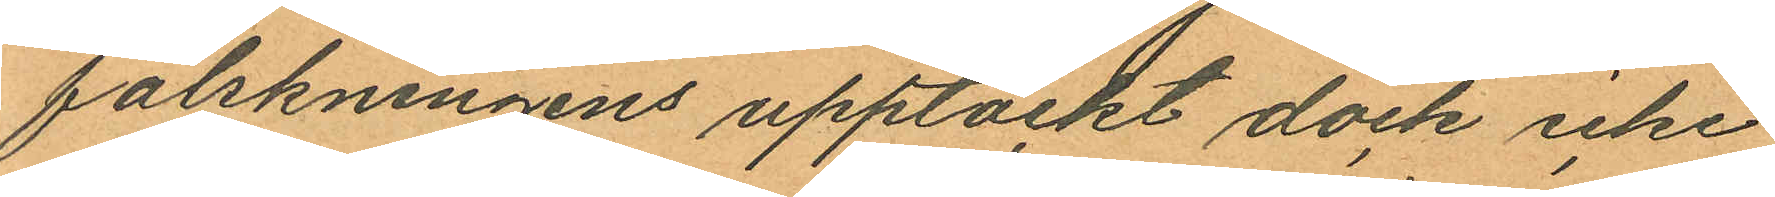falskningens upptäckt dock icke
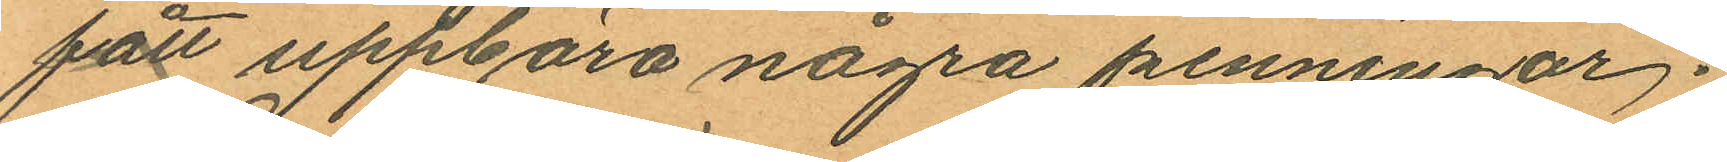fått uppbära några penningar.
